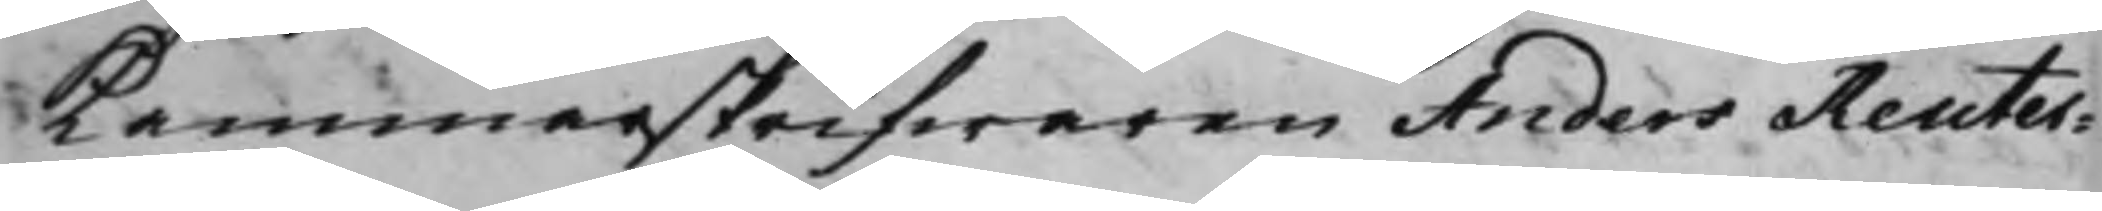Cammarskrifwaren Anders Reuter¬
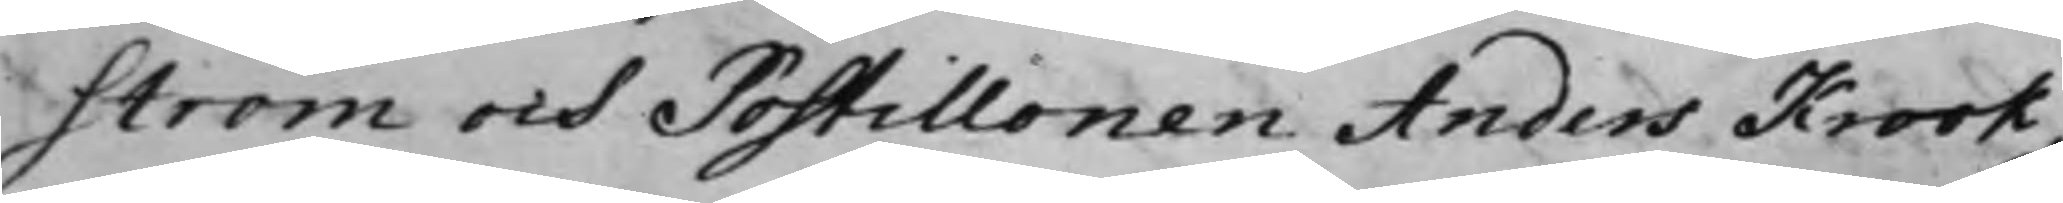ström och Postillonen Anders Krook,
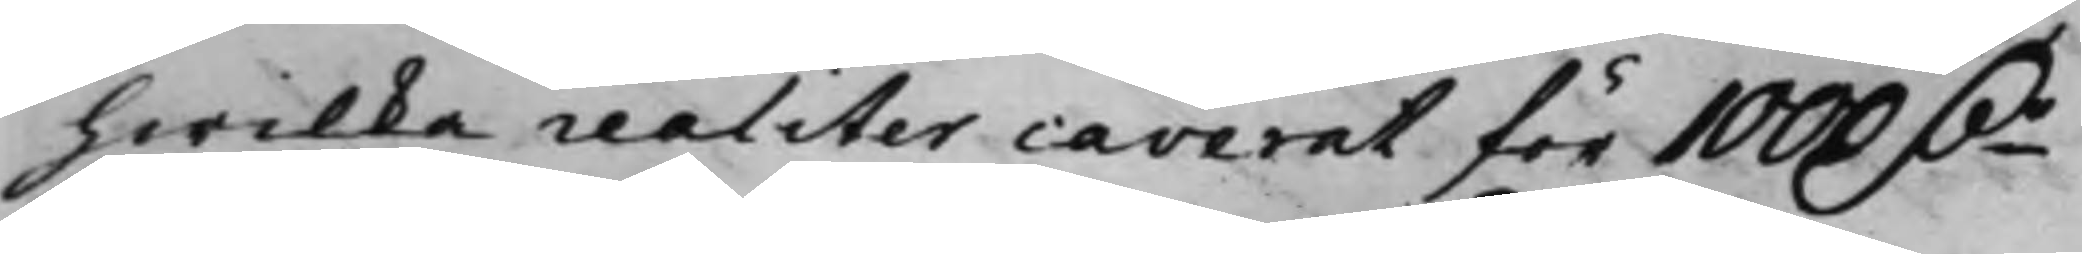hwilka raliter caverat för 1000 D.r
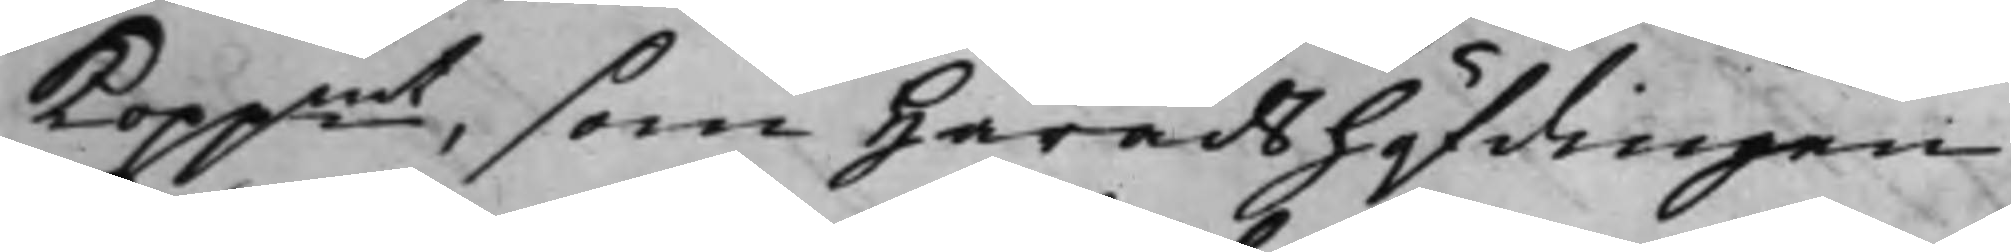Koppmt, som Häradshöfdingen
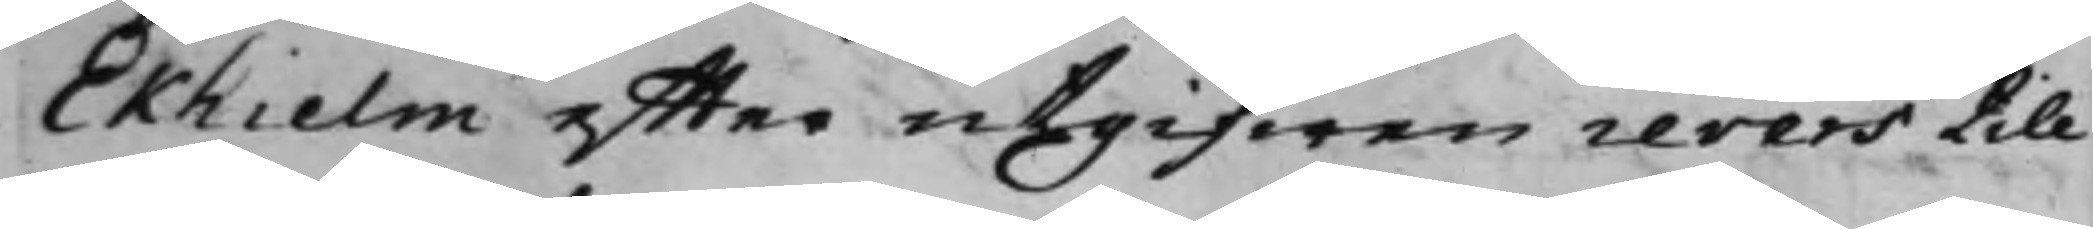Ekhielm effter utgifwen revers till
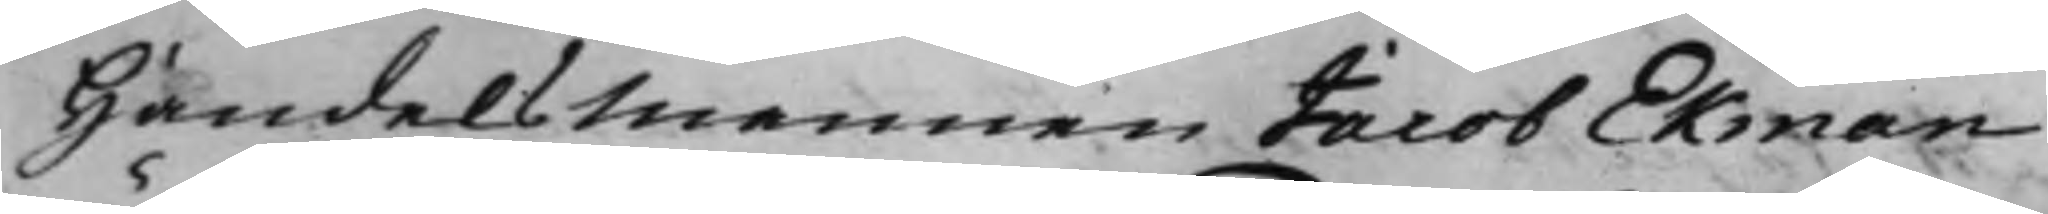Handelsmannen Jacob Ekman
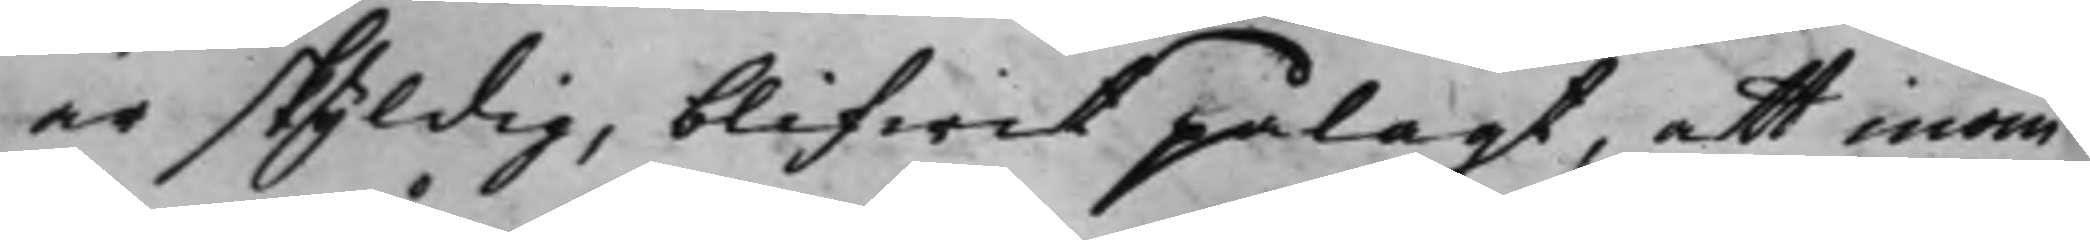är skyldig, blifwit pålagt, att inom
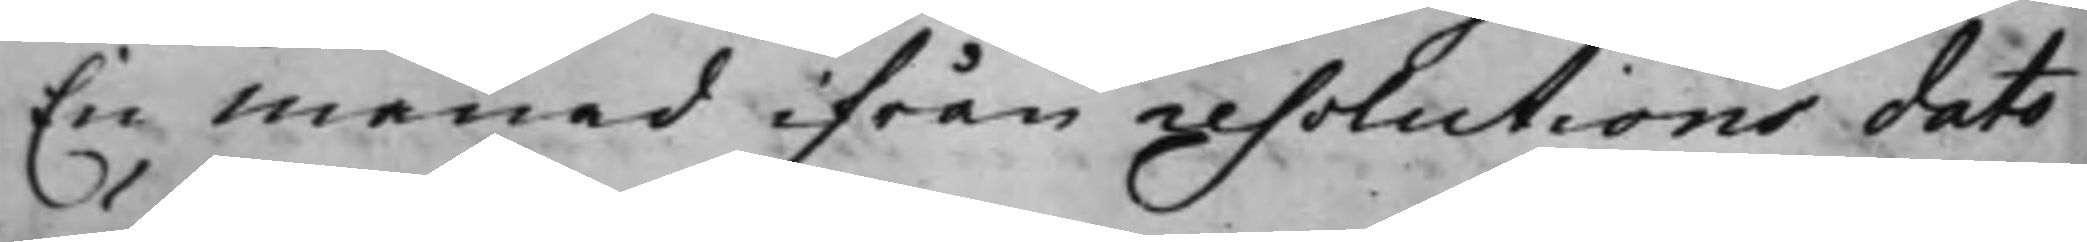En månad ifrån resolutions dato
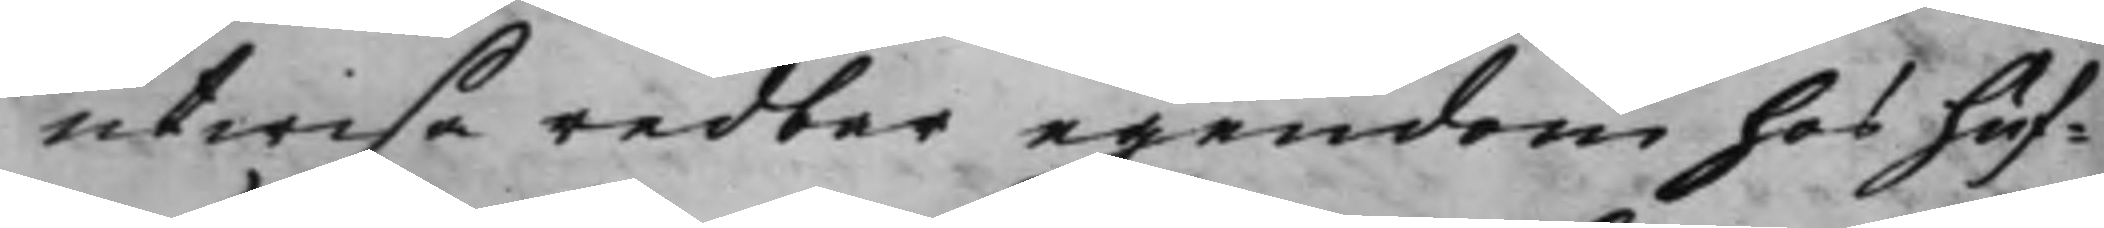utwisa redder egendom hos huf¬
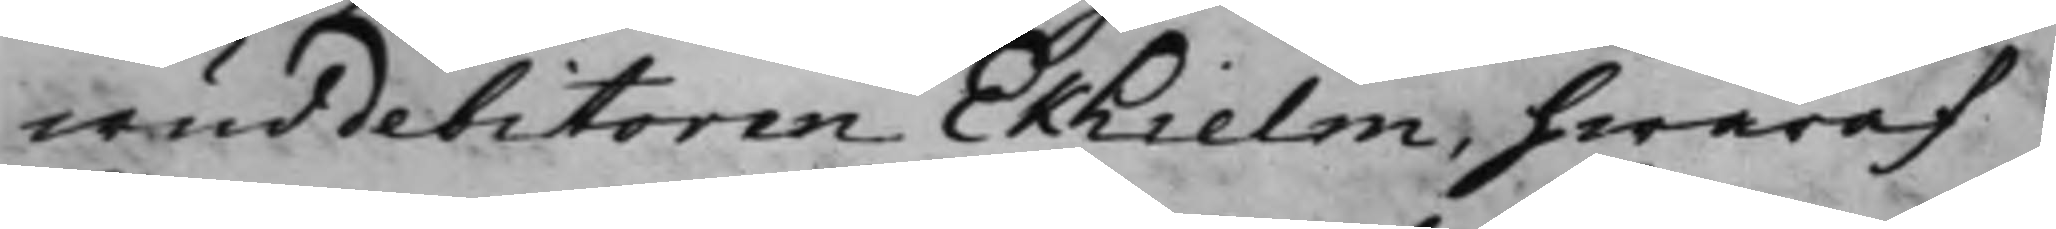wuddebitoren Ekhielm, hwaraf
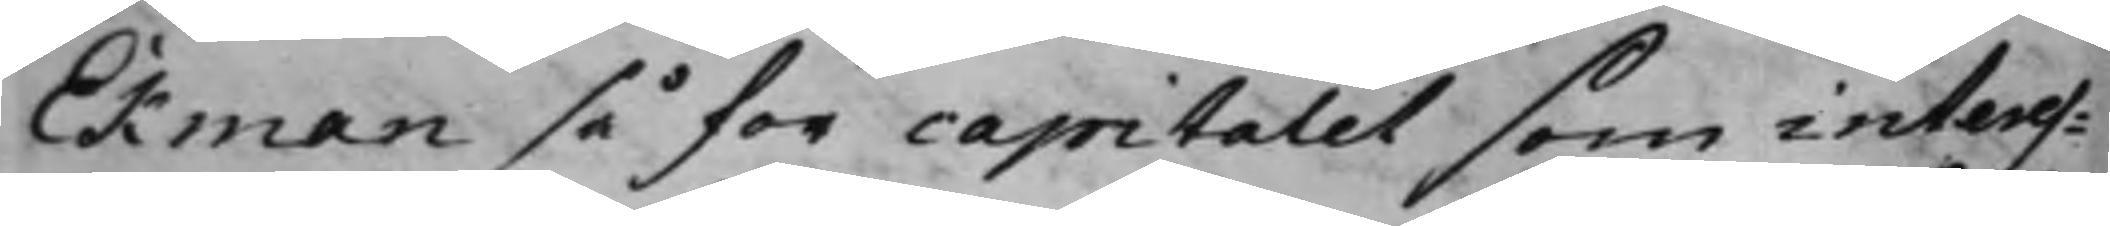Ekman så för capitalet som interes¬
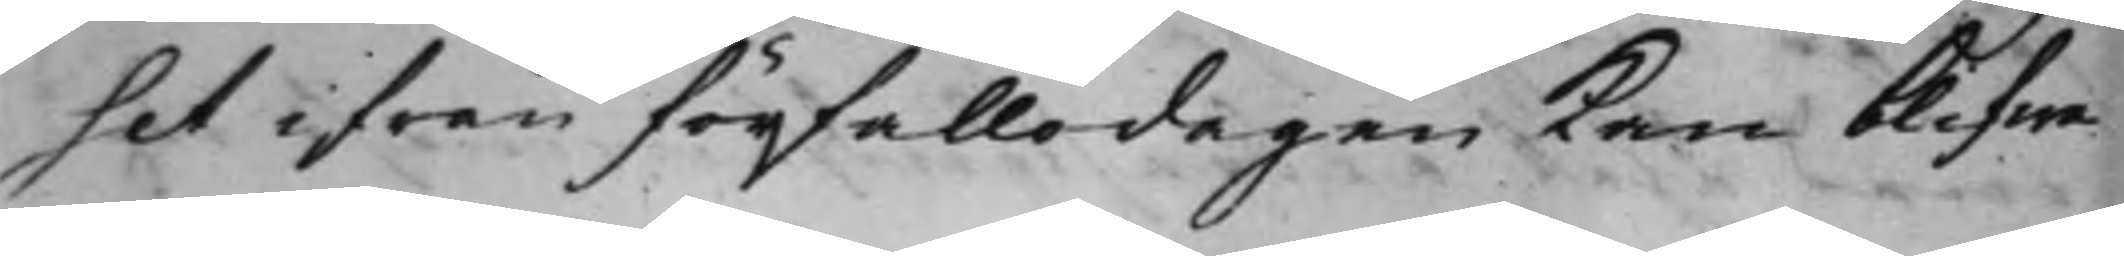set ifrån förfallodagen kan blifwa
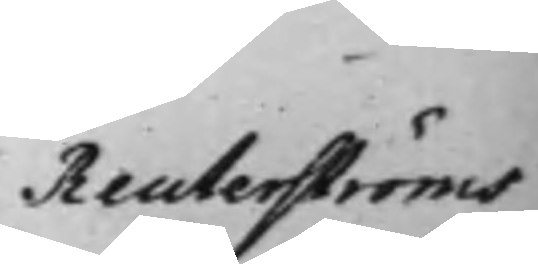Reuterströms
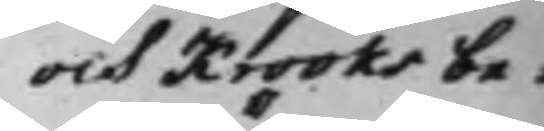och Krooks be¬
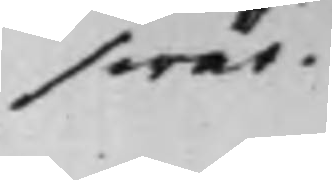swär.
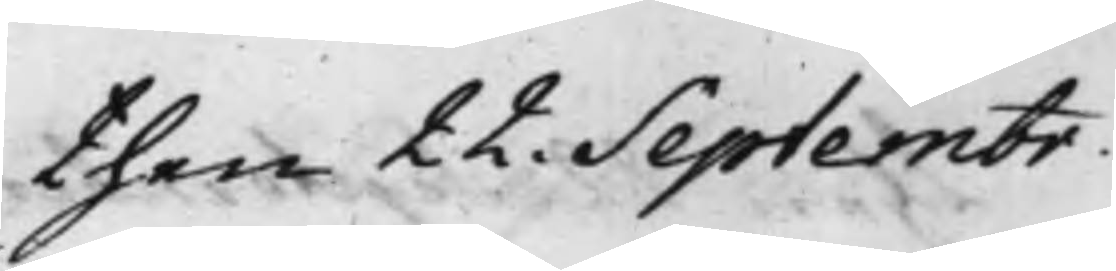then 22. Septembr.
